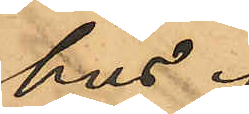hus.
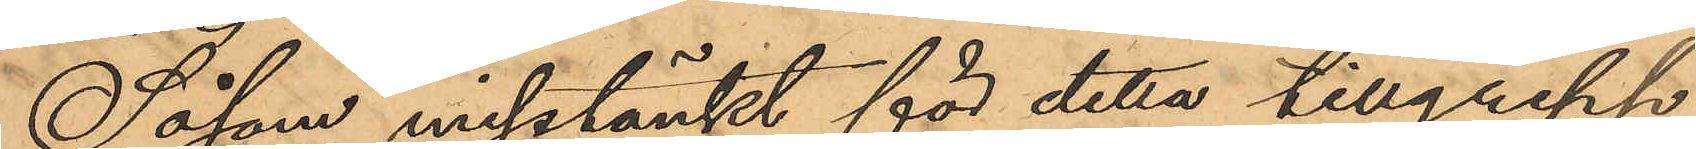Såsom misstänkt för detta tillgrepp
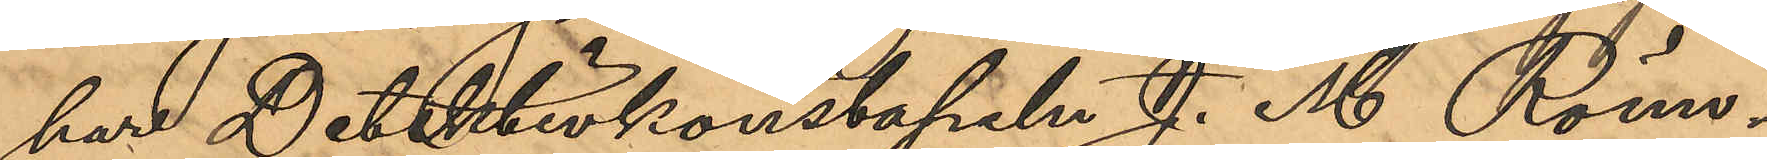har Detektivkonstapeln J. M. Römn¬
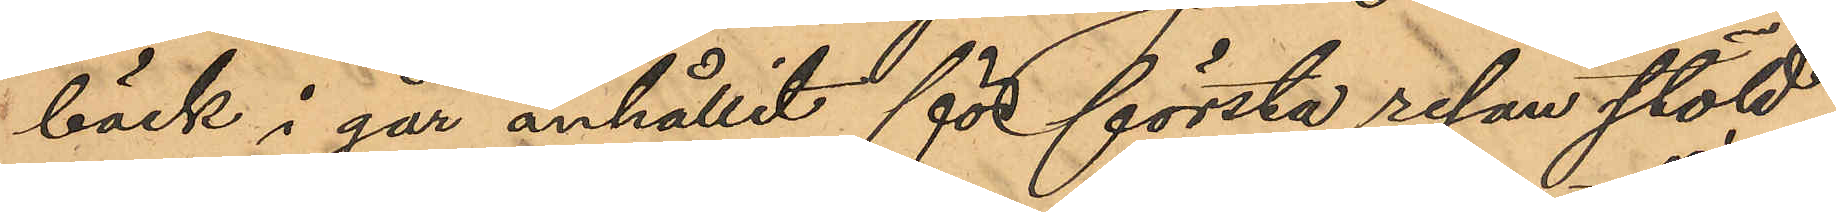bäck i går anhållit för första resan stöld
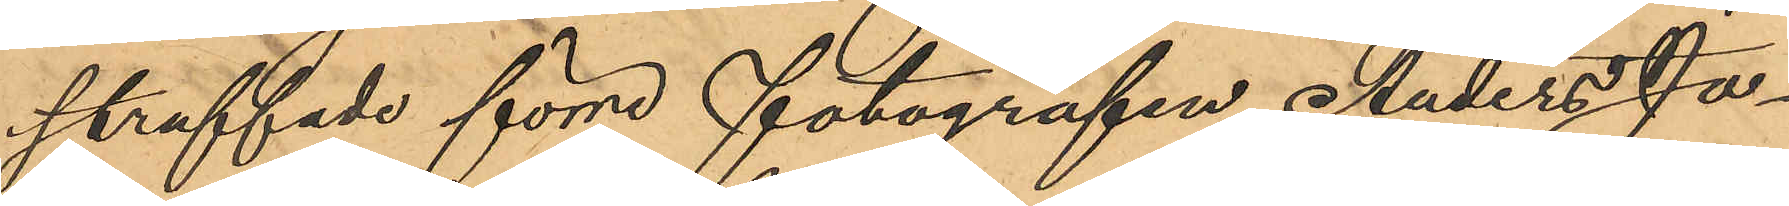straffade förre fotografen Anders Jo¬
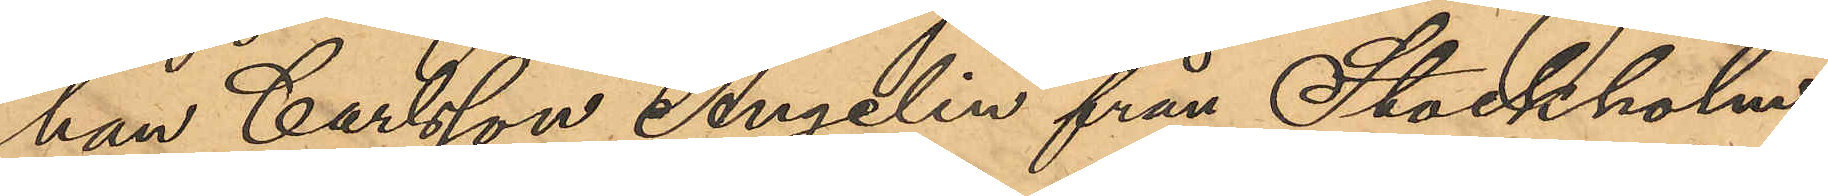han Carlsson Angelin från Stockholm
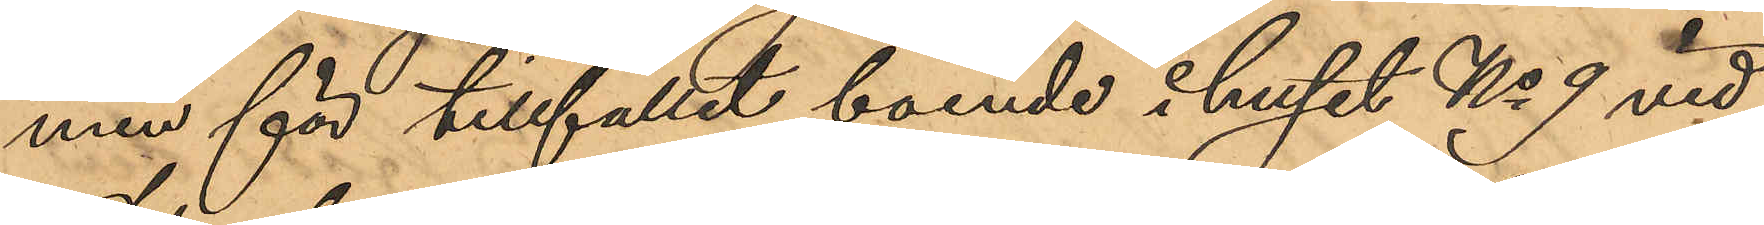men för tillfället boende i huset No 9 vid
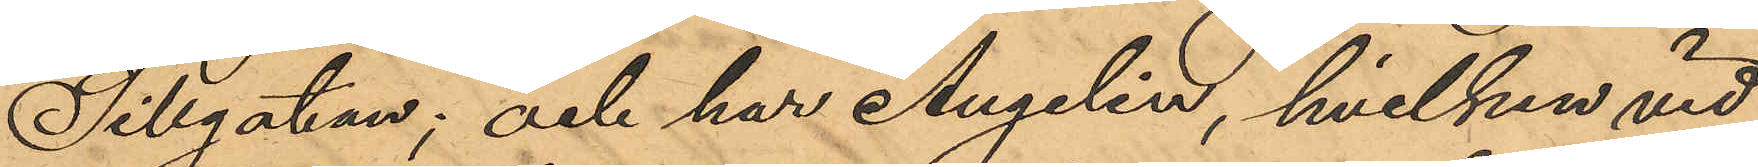Sillgatan; och har Angelin, hvilken vid
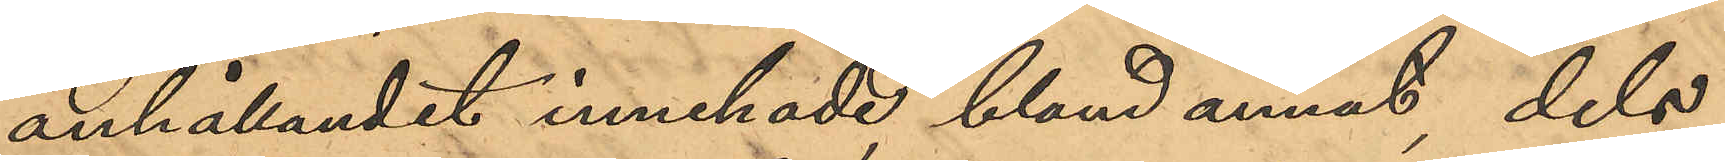anhållandet innehade, bland annat, dels
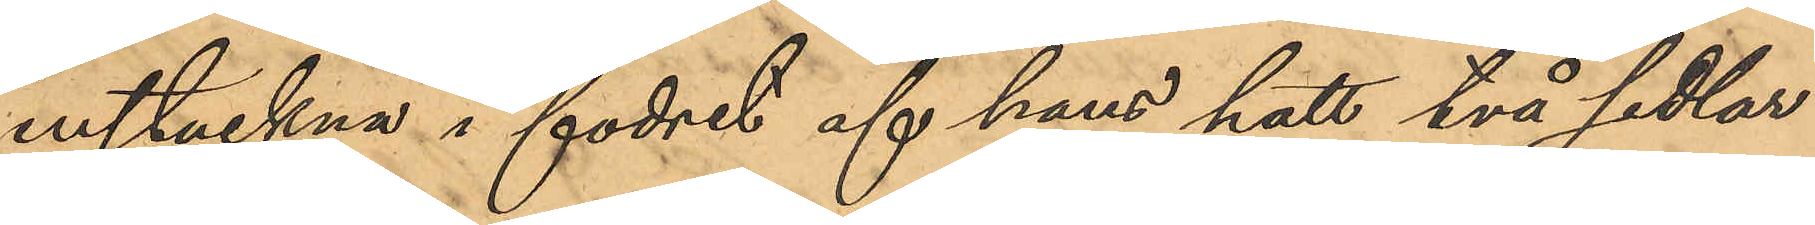instuckna i fodret af hans hatt två sedlar
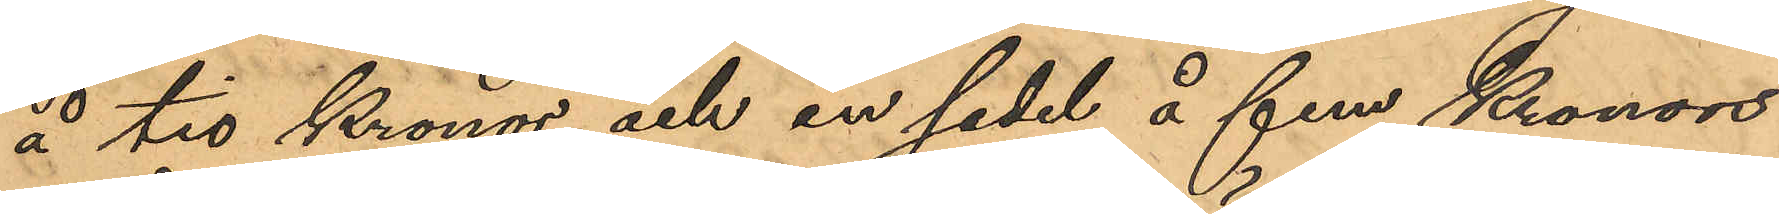å tio Kronor och en sedel å fem Kronors
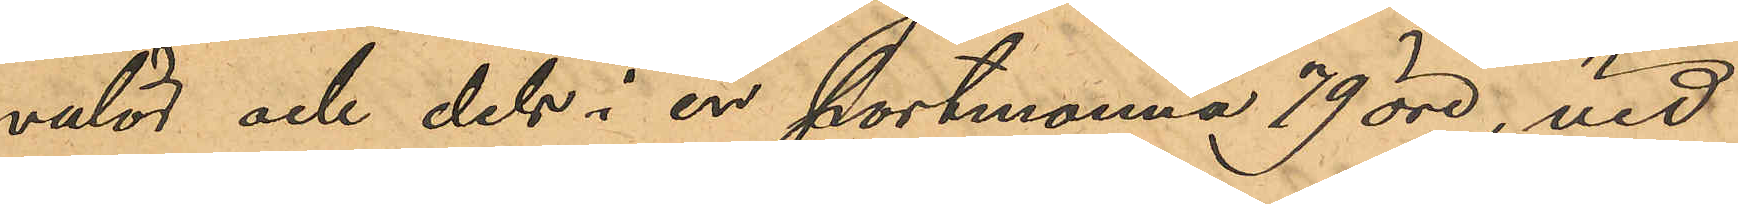valör och dels i en portmonnä 79 öre, vid
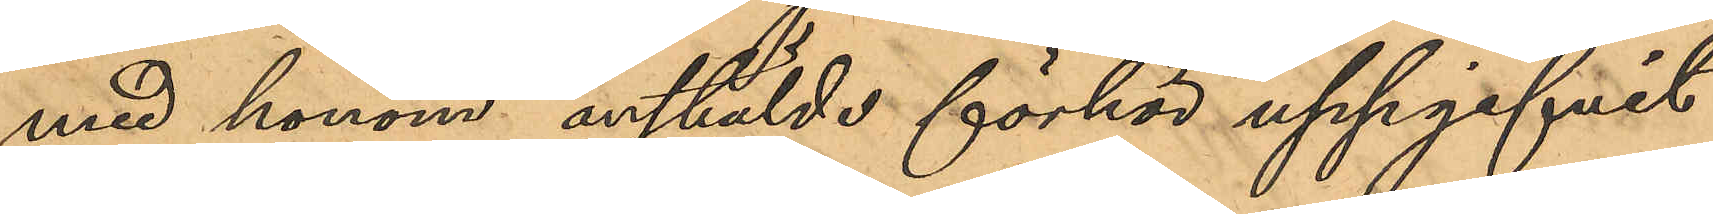med honom anstälde förhör uppgifvit
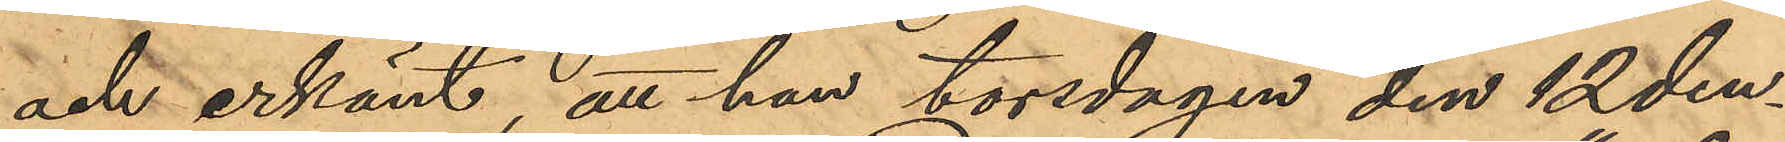och erkänt, att han torsdagen den 12 den¬
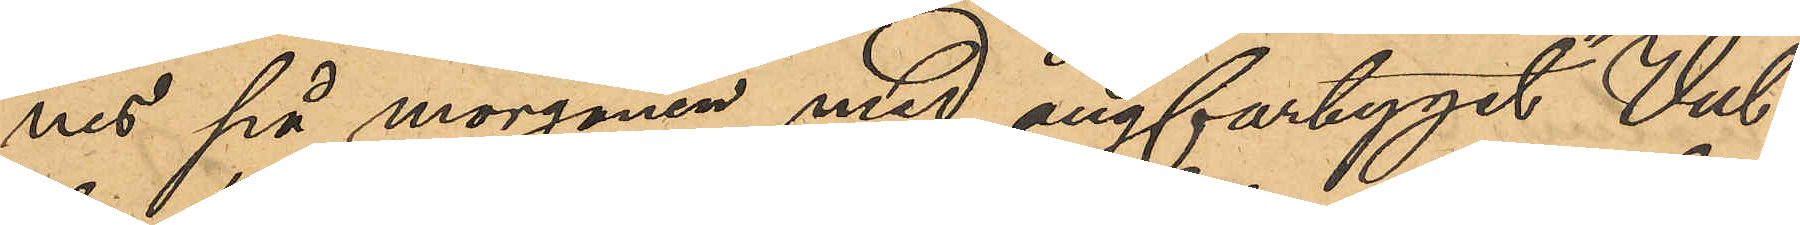nes på morgonen med ångfartyget "Vul¬
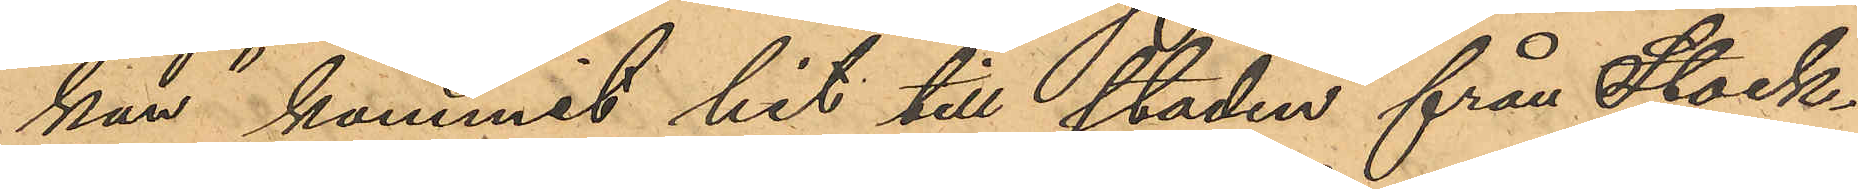kan" kommit hit till staden från Stock¬
